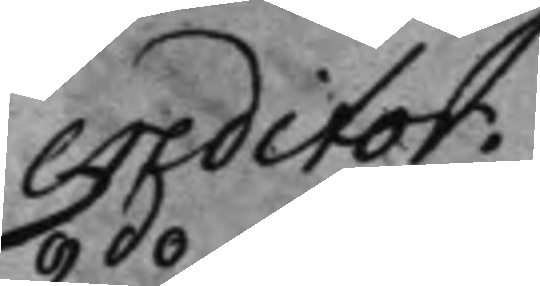creditor.
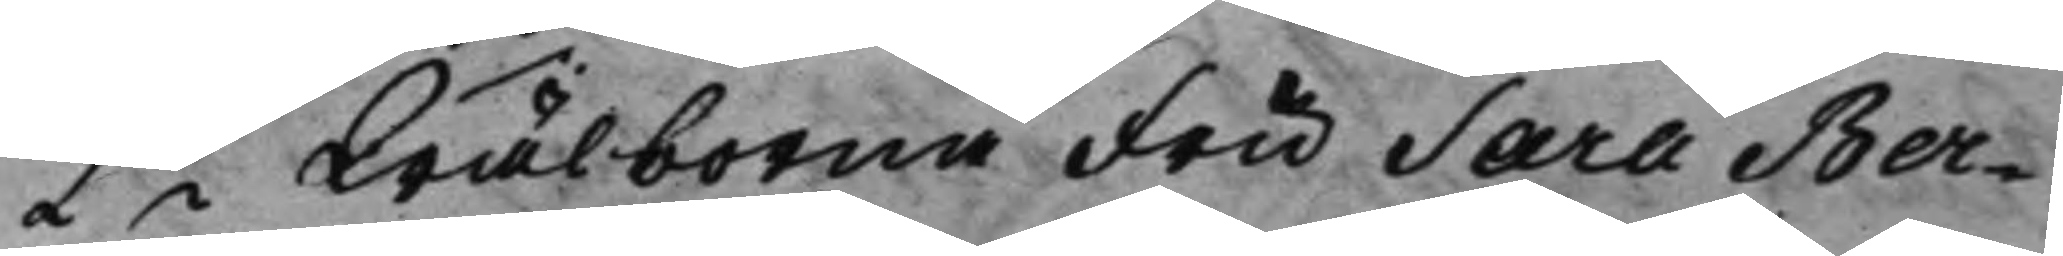2do Wälborna Fru Sara Ber¬ 
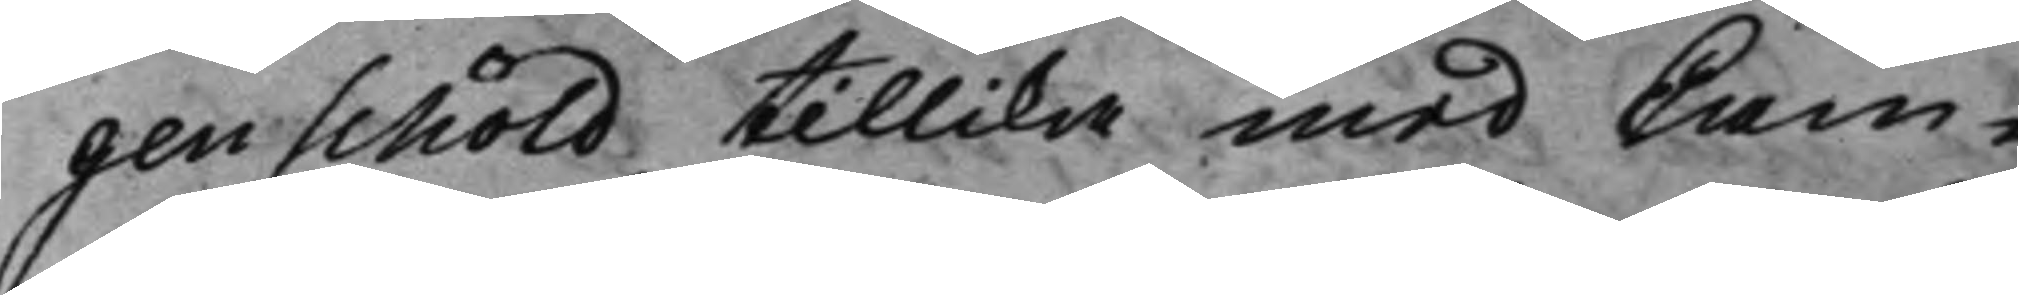genschöld tillika med Cam¬
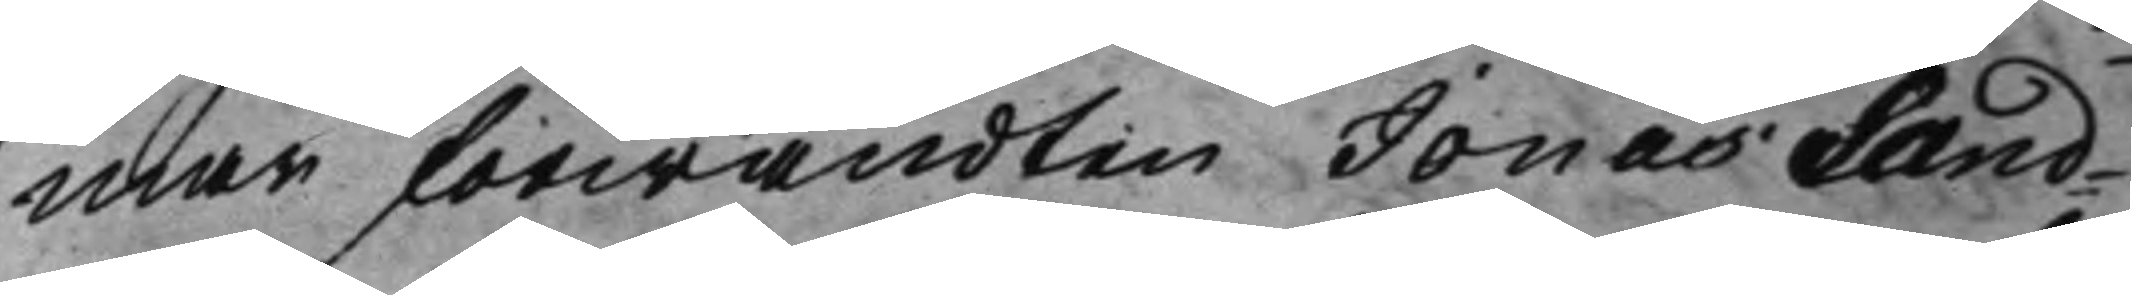marförwandten Jonas Sand¬
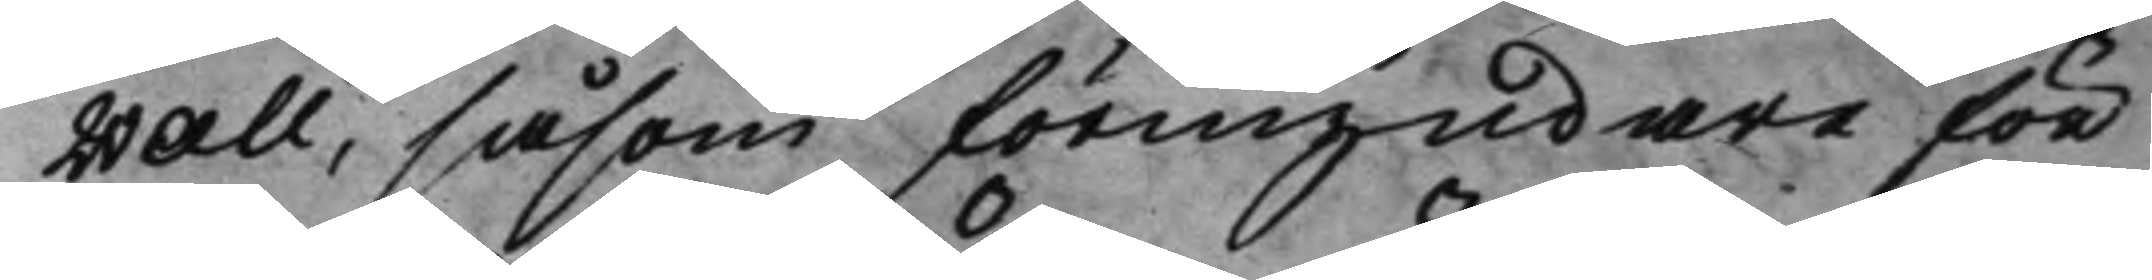wall, såsom förmyndare för
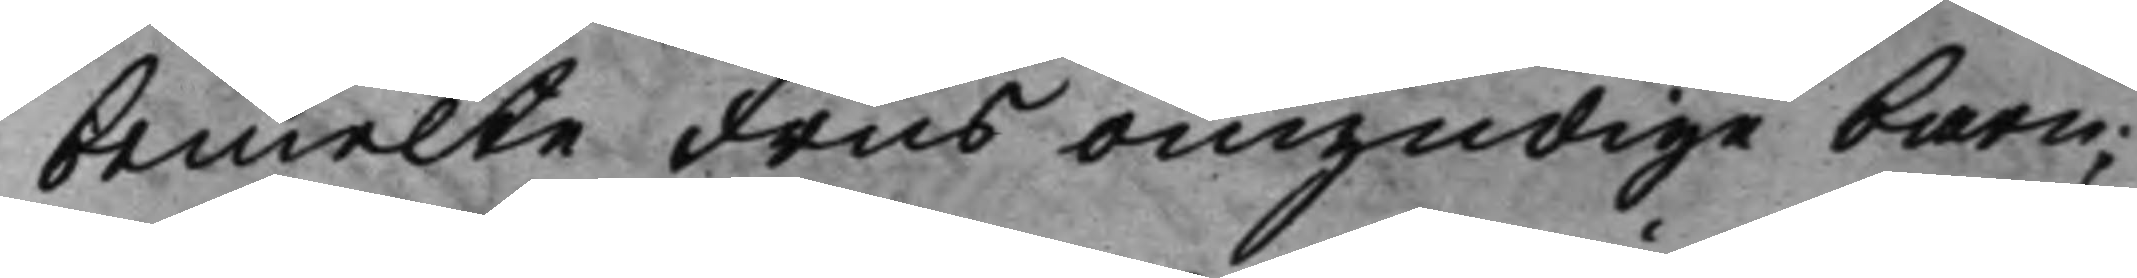bemelte Frus omyndige barn;
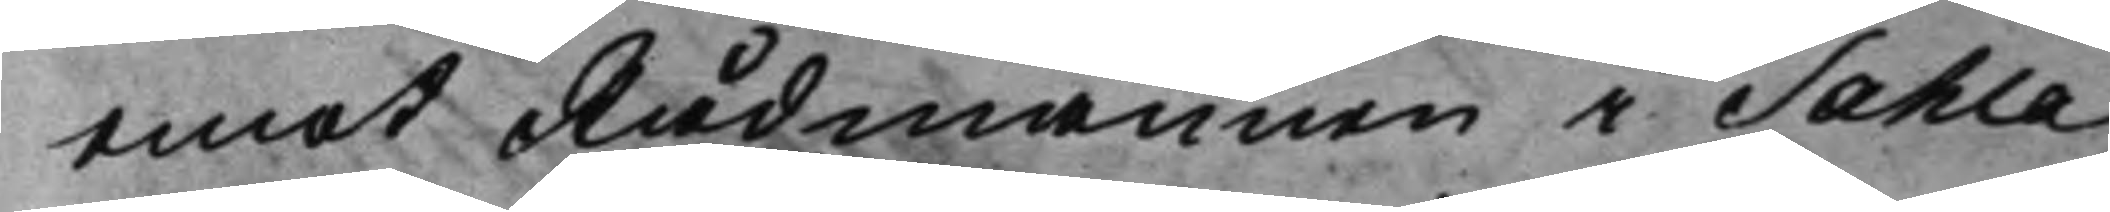emot Rådmannen i Sahla
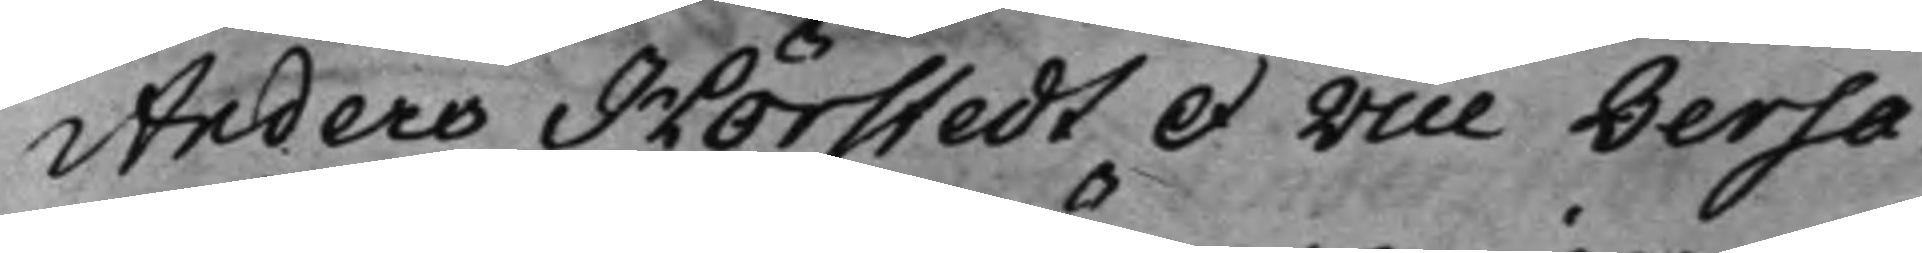Anders Hörstedt et Vice Versa.
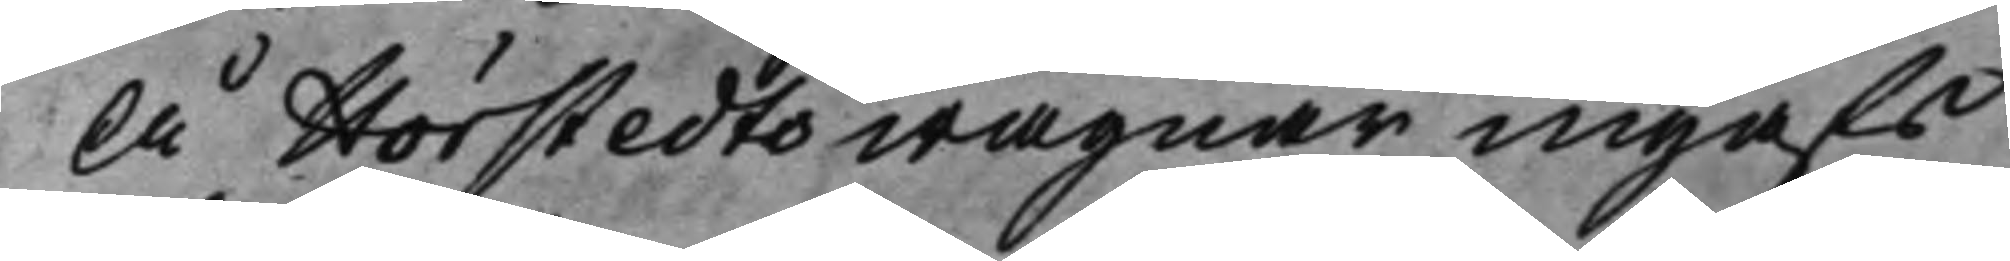Å Hörstedts wägnar ingafs
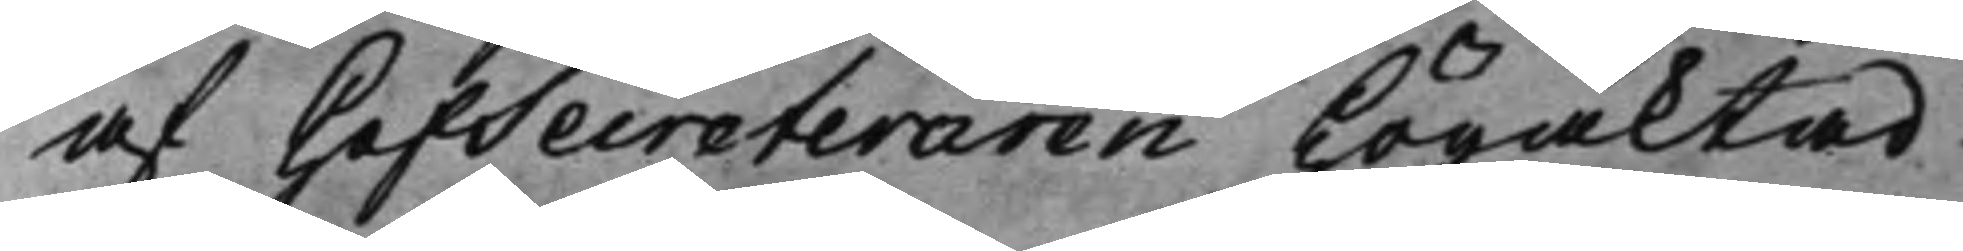af HofSecreteraren Högaktad
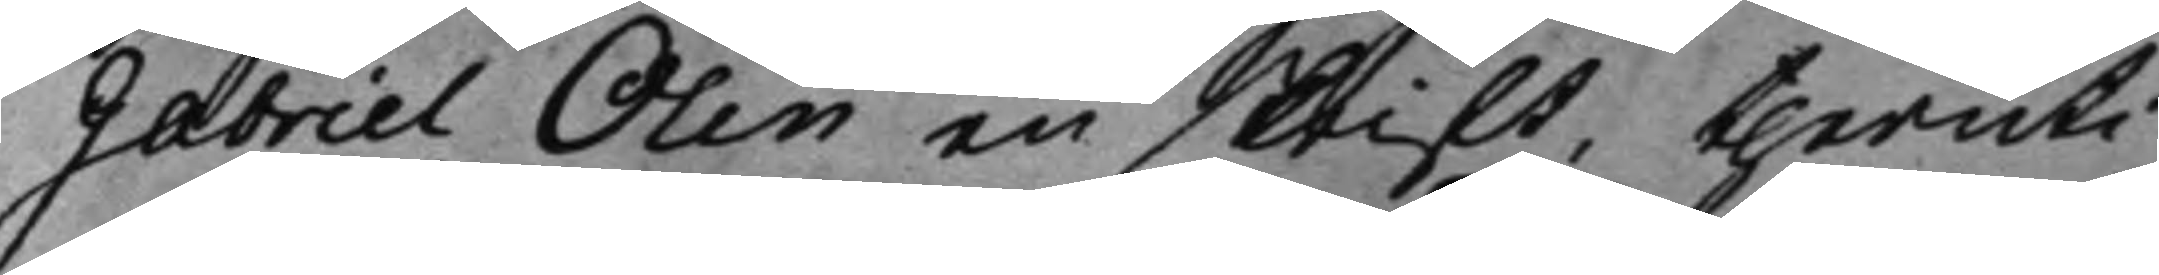Gabriel Olin en skrift, theruti
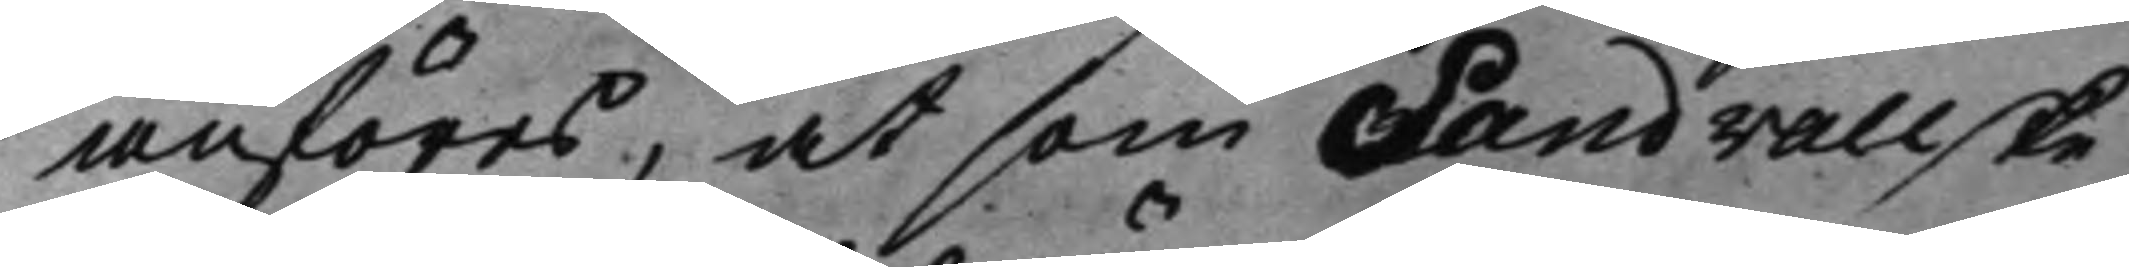anföres, at som Sandvallske
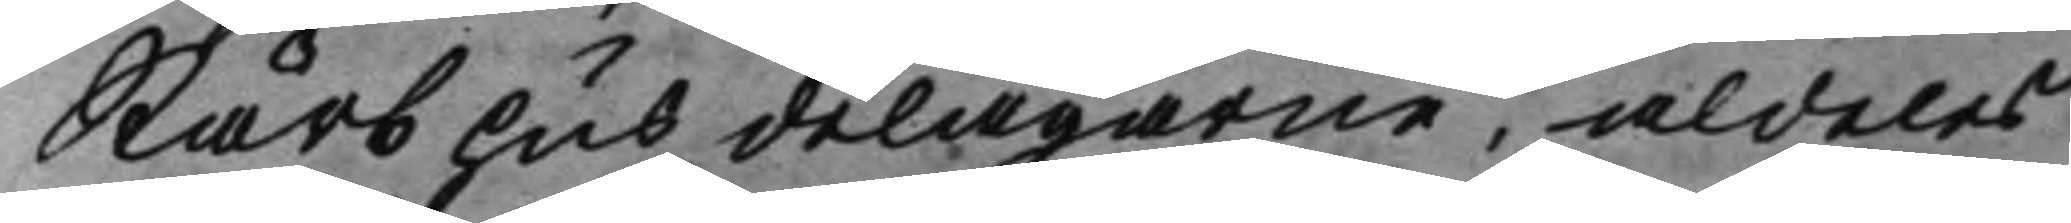Stärbhus delägarne, aldeles
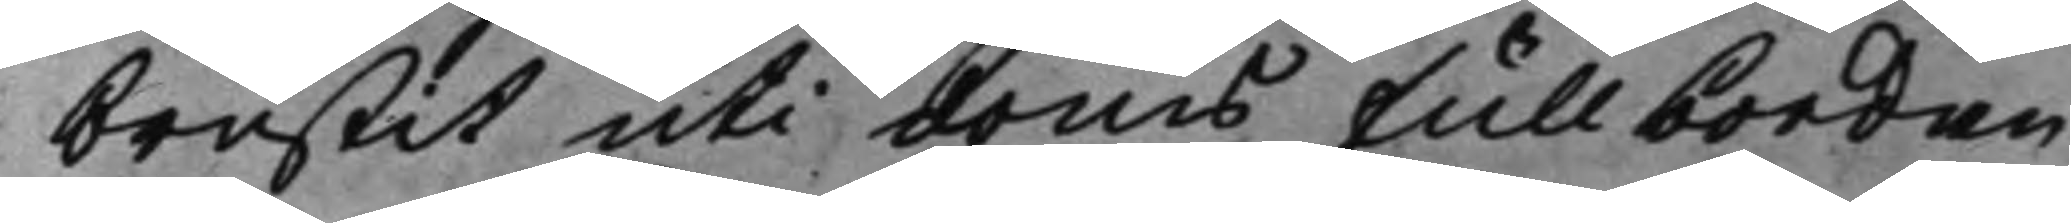brustit uti doms fullbordan
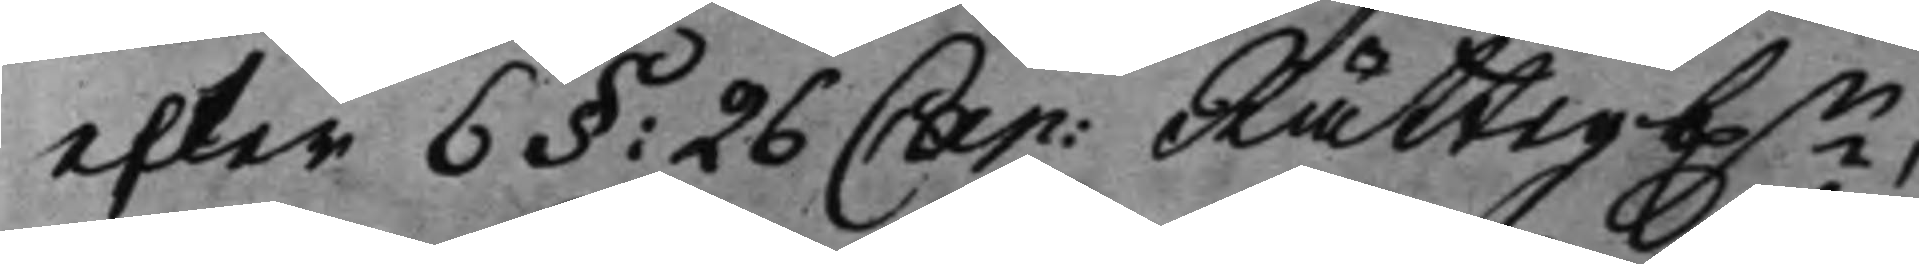efter 6§: 26 Cap: Rättegb.n, 
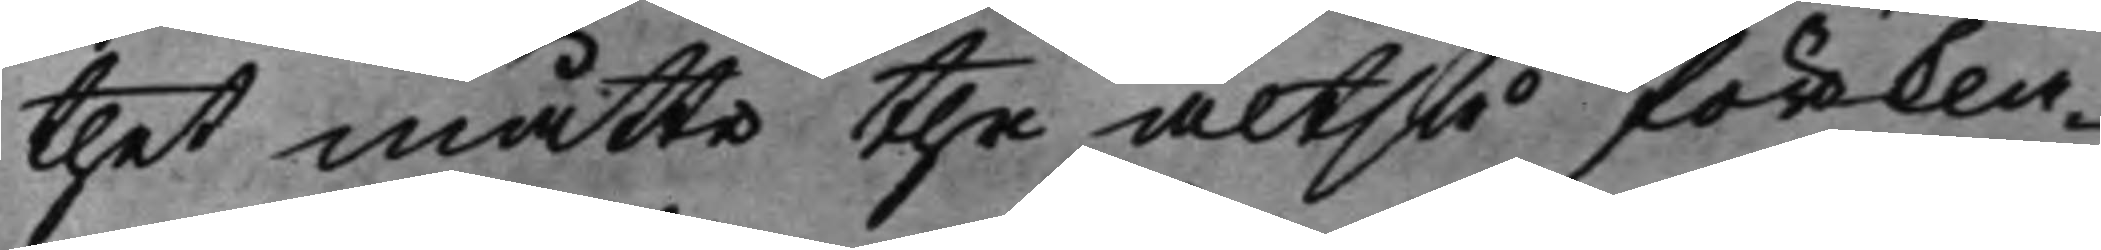thet måtte the altså förkla¬
